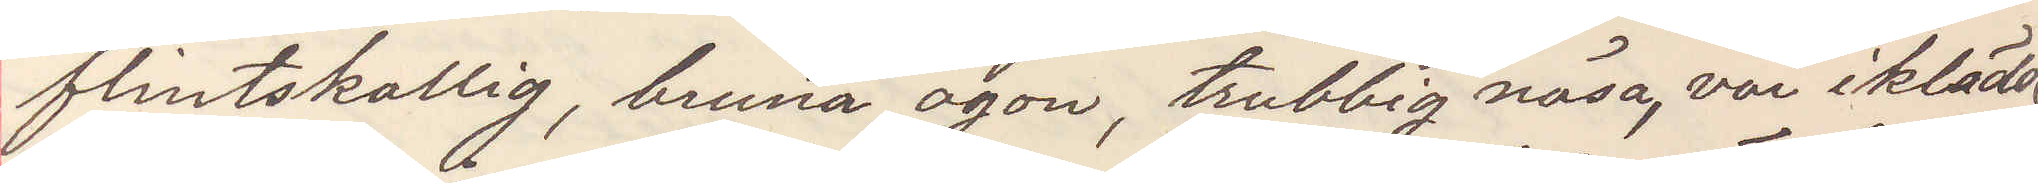flintskallig, bruna ögon, trubbig näsa, var iklädd
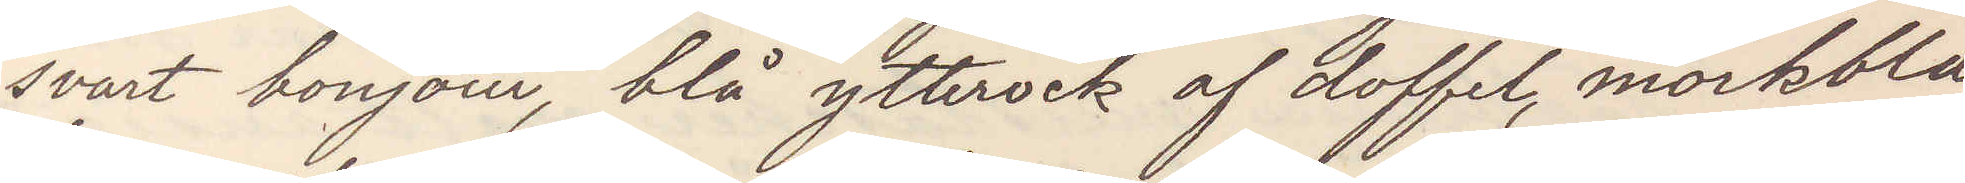svart bonjour, blå ytterock af doffel, mörkblå
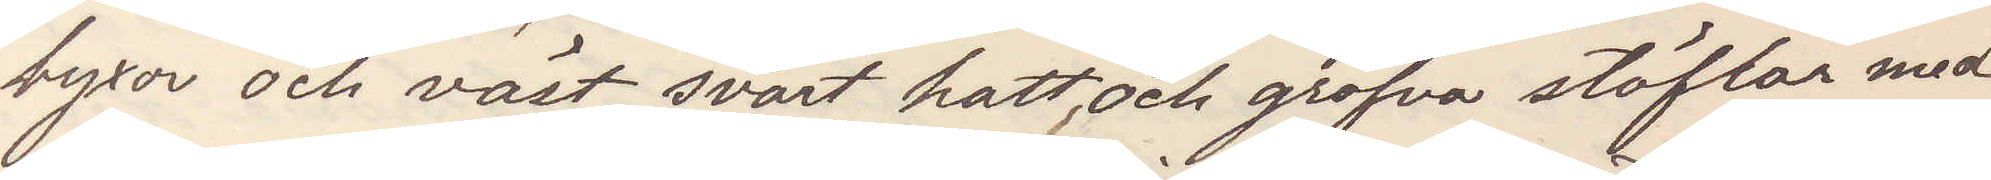byxor och väst, svart hatt och grofva stöflar med
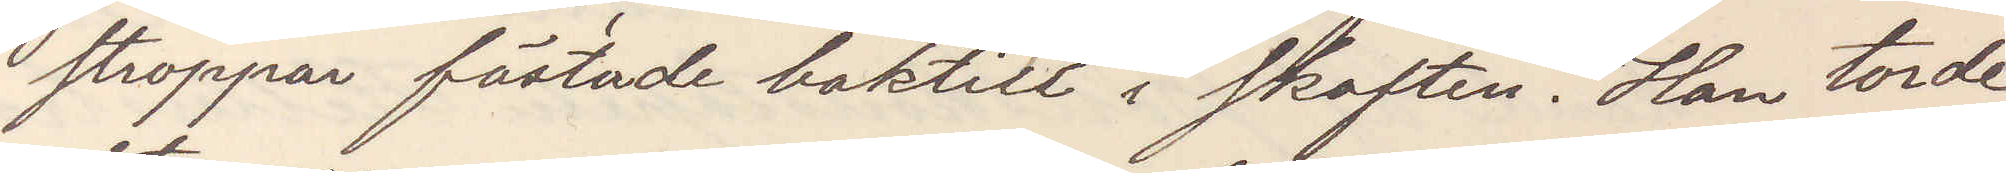stroppar fästade baktill i skaften. Han torde
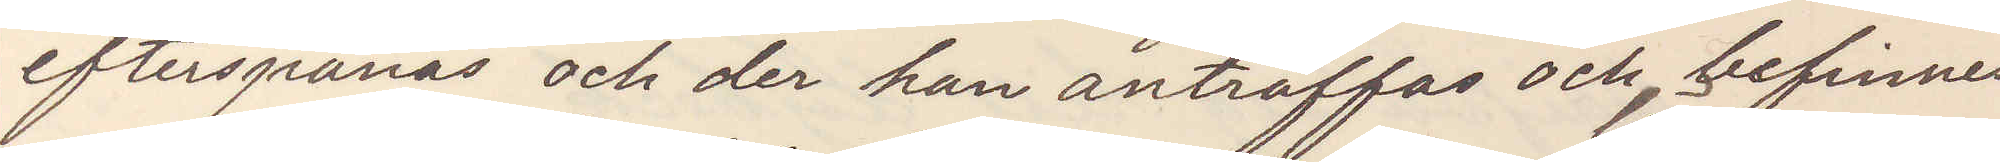efterspanas och der han anträffas och befinnes
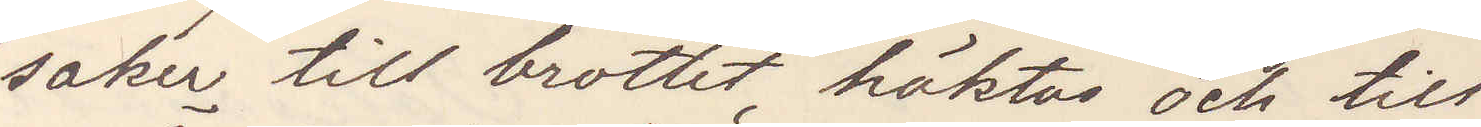saker till brottet häktas och till
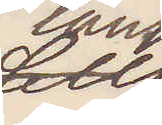läns¬
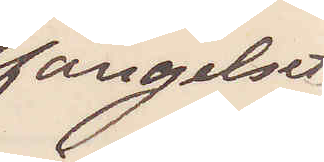fängelset
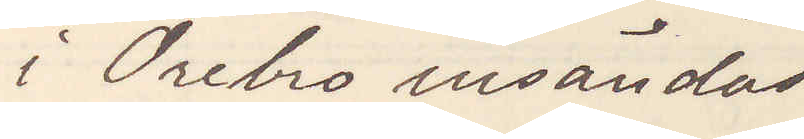i Örebro insändas
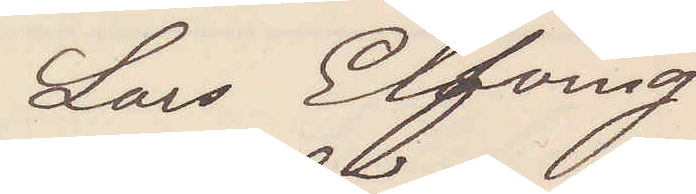Lars Elfving
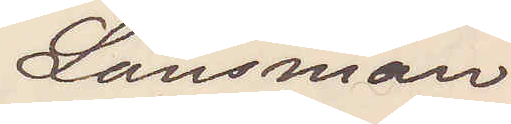Länsman
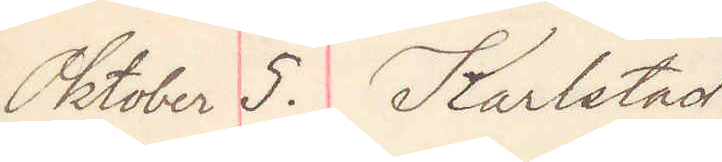Oktober 5. Karlstad
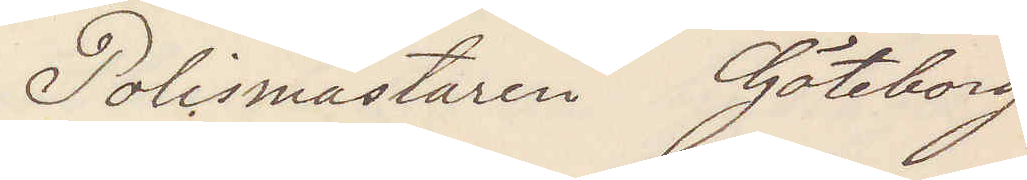Polismästaren Göteborg
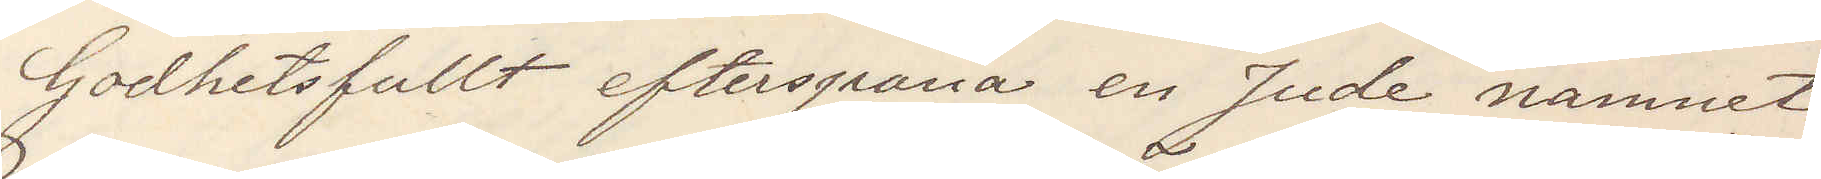Godhetsfullt efterspana en Jude namnet
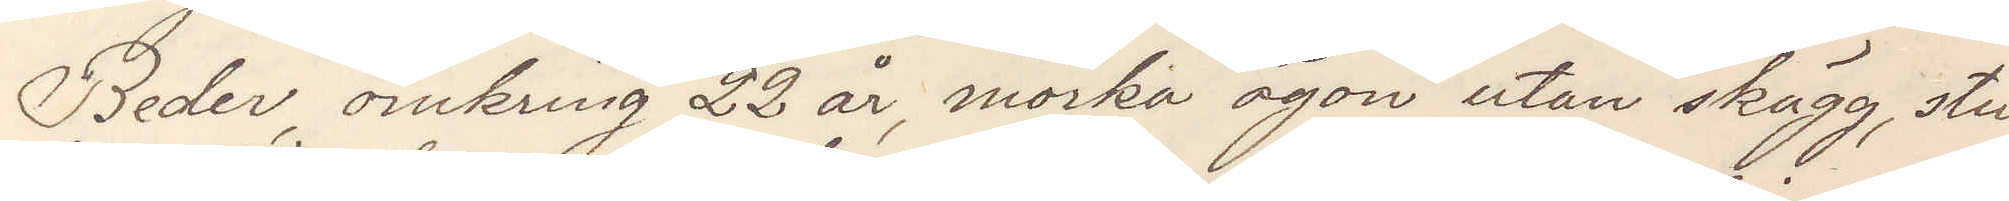Beder, omkring 22 år, mörka ögon utan skägg, stu¬
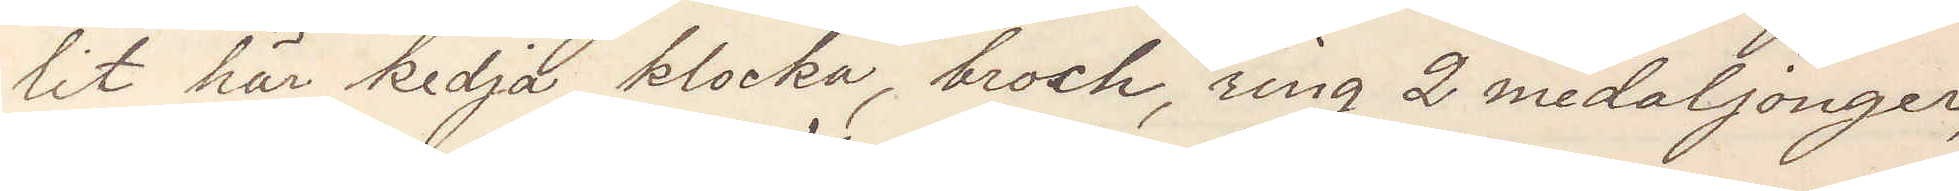lit här kedja, klocka, broch, ring 2 medaljonger,
